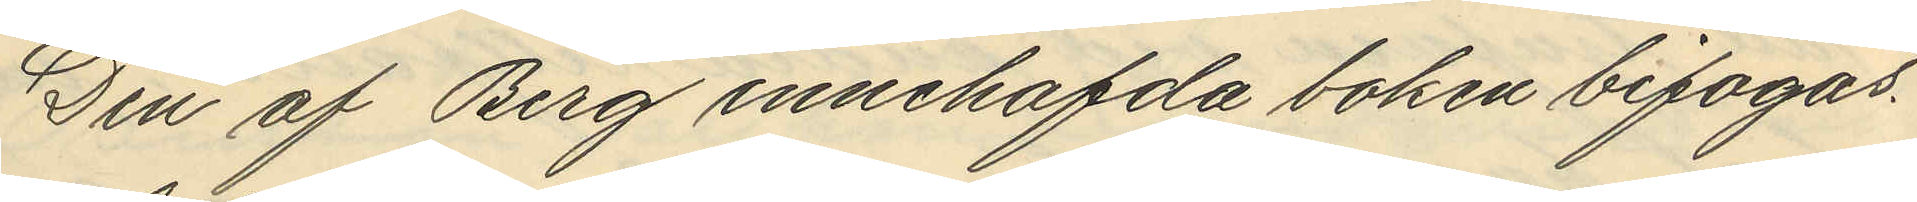Den af Berg innehafda boken bifogas.
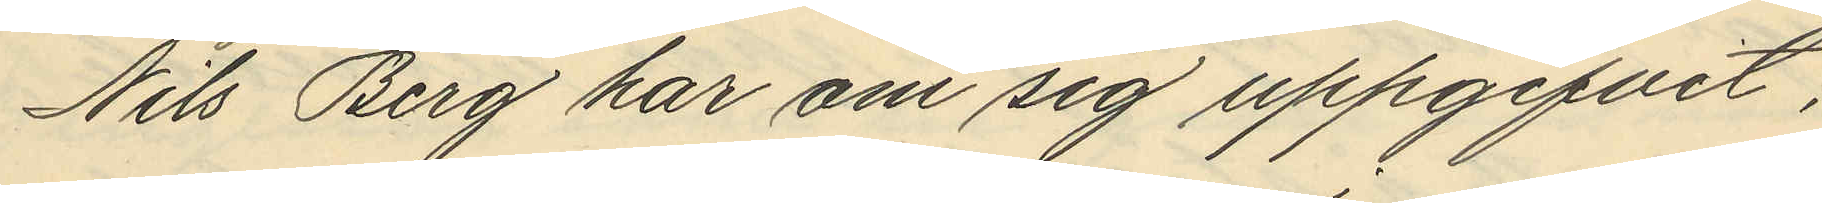Nils Berg har om sig uppgifvit,
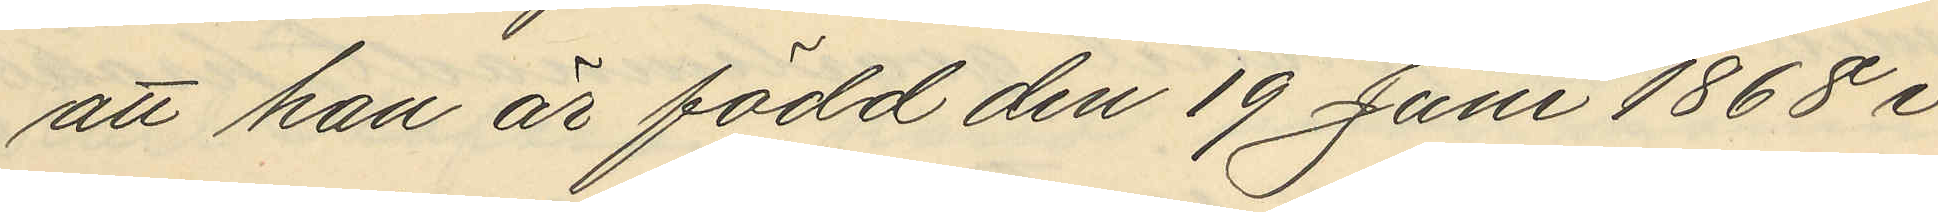att han är född den 19 Juni 1868 i
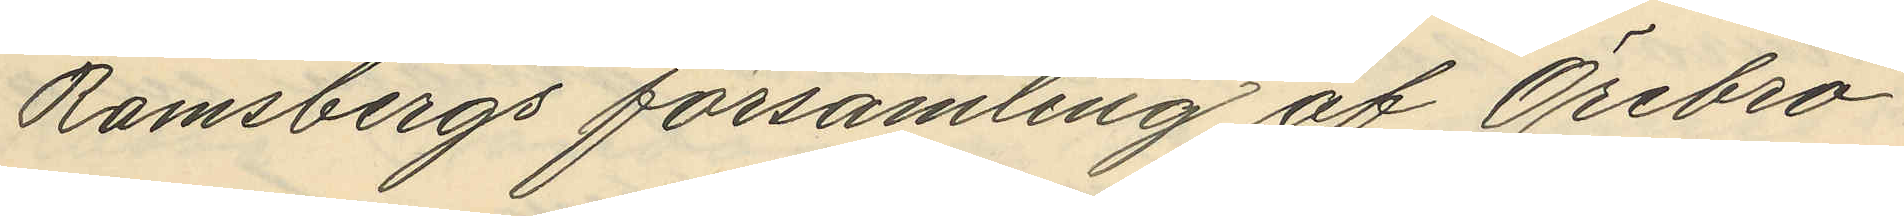Ramsbergs församling af Örebro
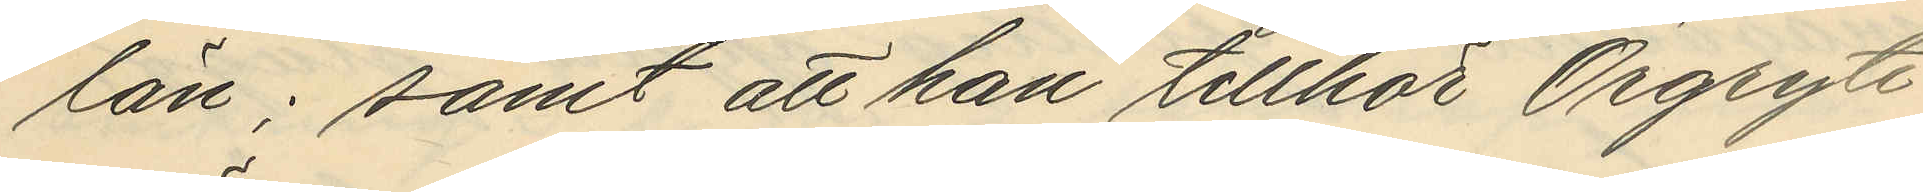län; samt att han tillhör Örgryte
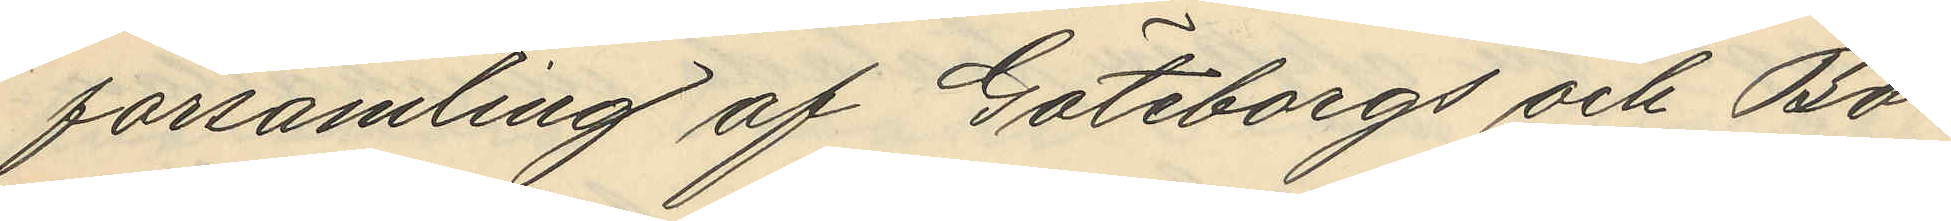församling af Göteborgs och Bo¬
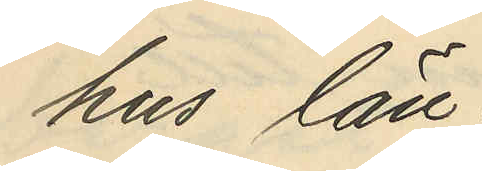hus län
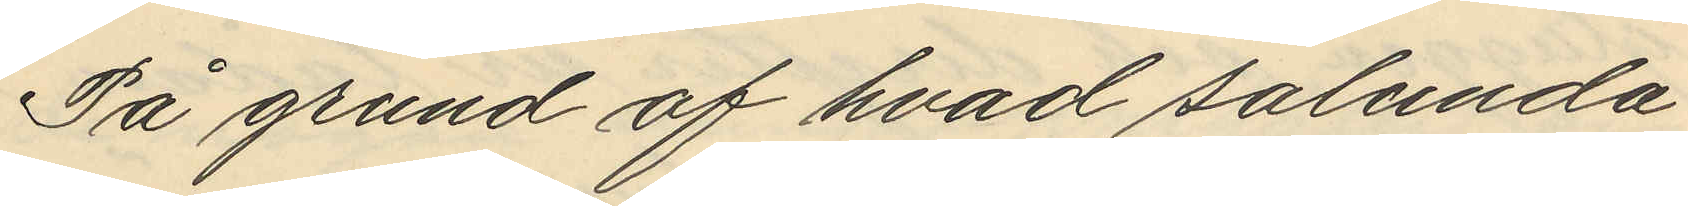På grund af hvad sålunda
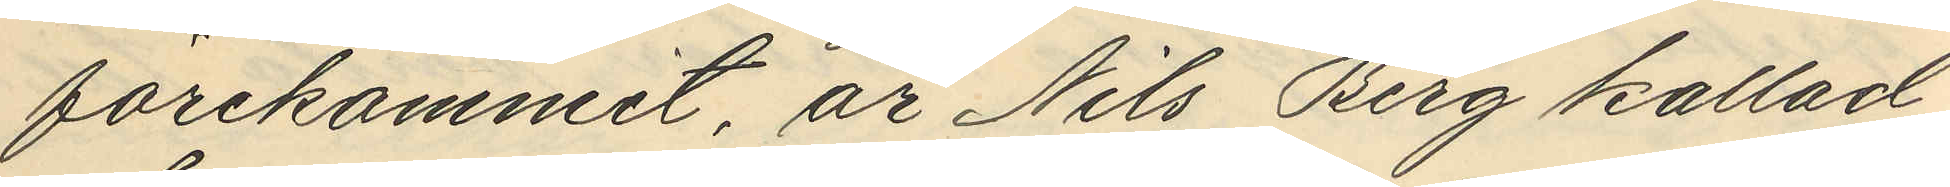förekommit, är Nils Berg kallad
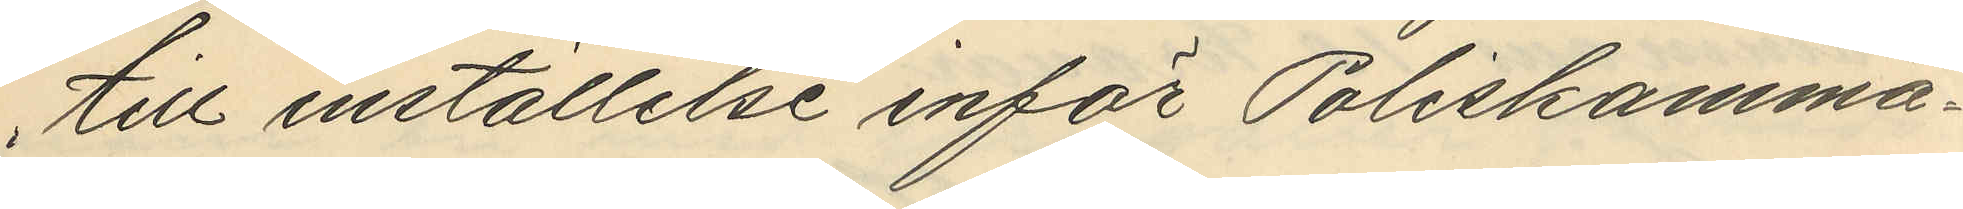till inställelse inför Poliskamma¬
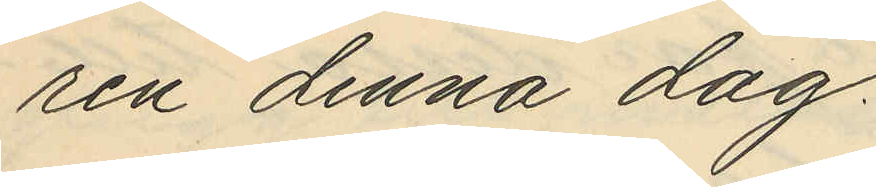ren denna dag.
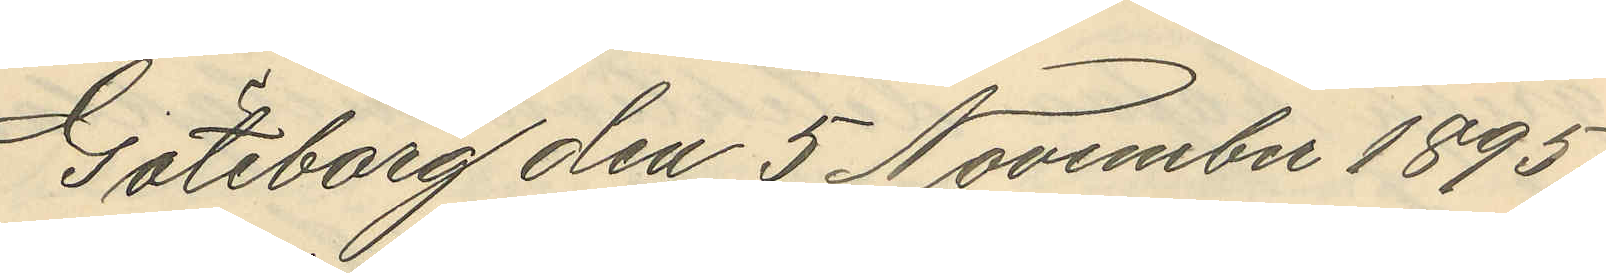Göteborg den 5 November 1895.
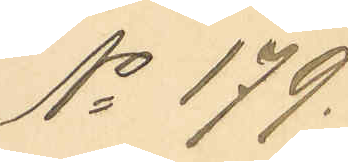No 179.
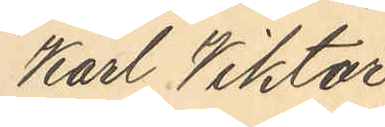Karl Viktor
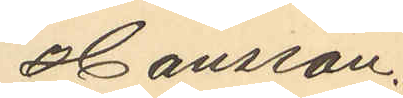Hansson.
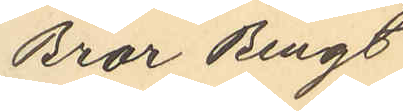Bror Bengt
